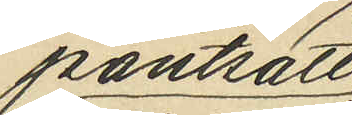pantsatt
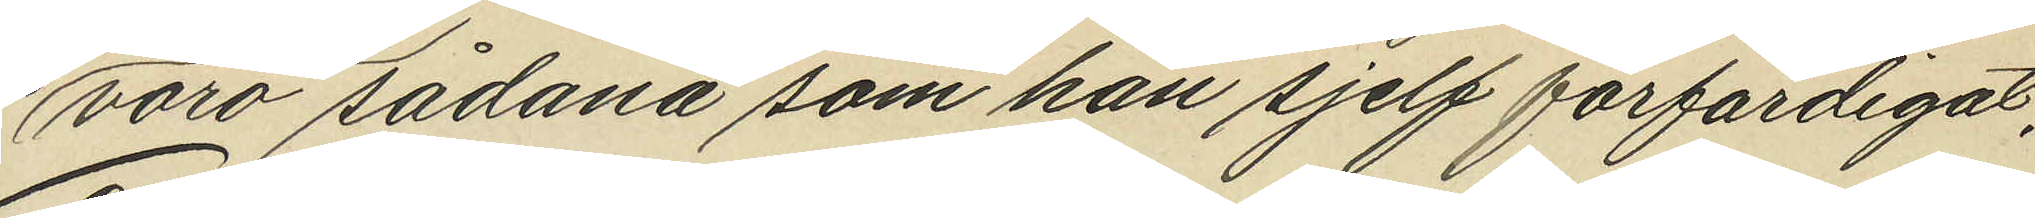voro sådana som han sjelf förfärdigat;
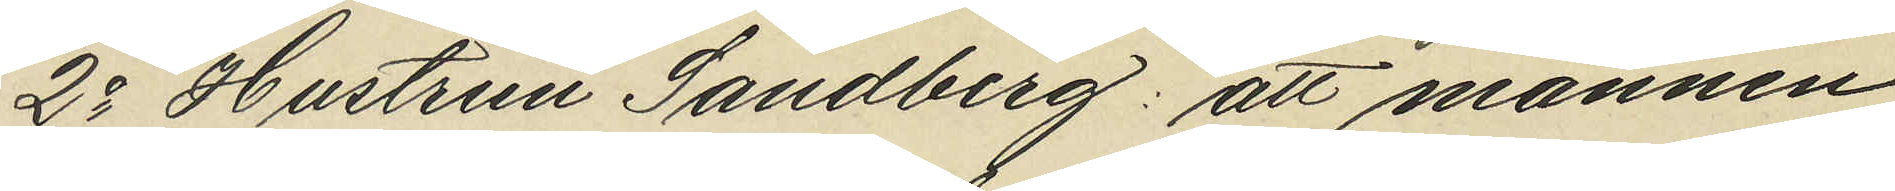2o Hustrun Sandberg att mannen
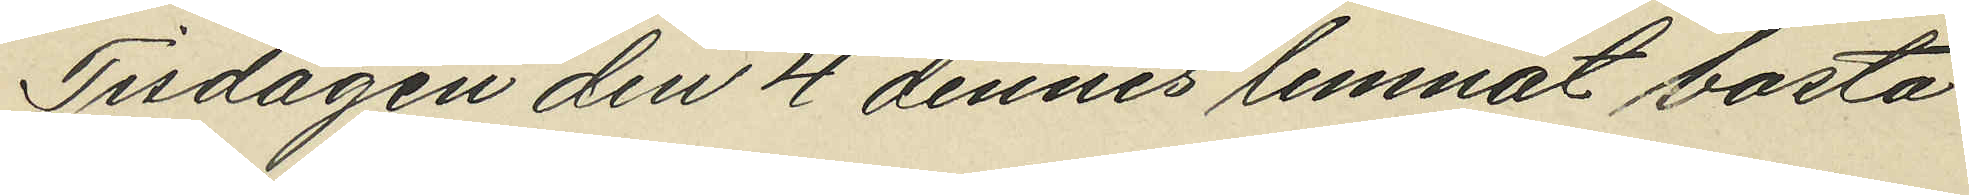Tisdagen den 4 dennes lemnat bosta¬
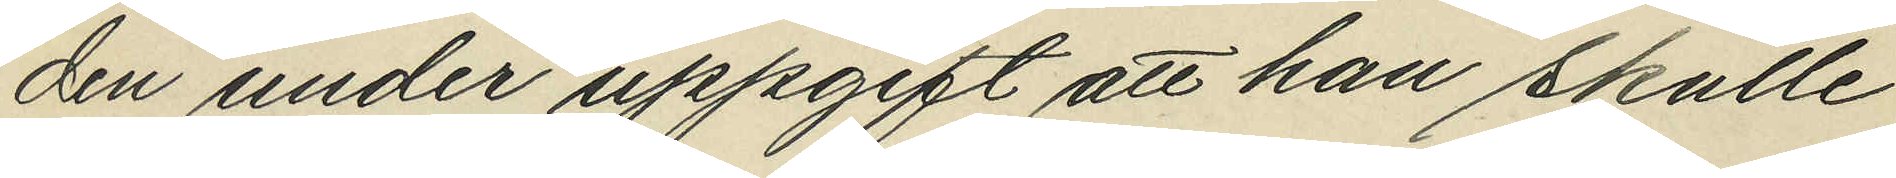den under uppgift att han skulle
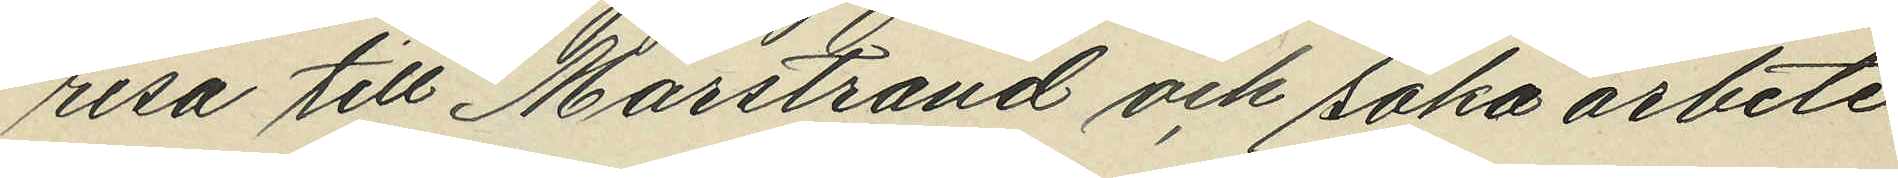resa till Marstrand och söka arbete
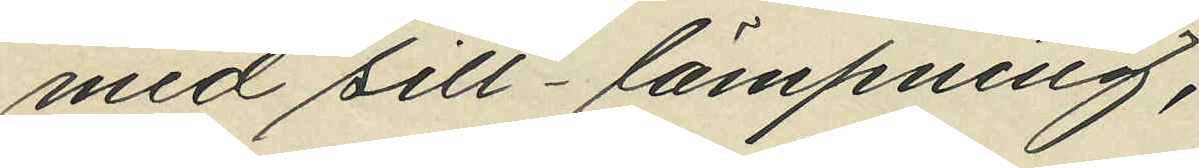med sill-lämpning;
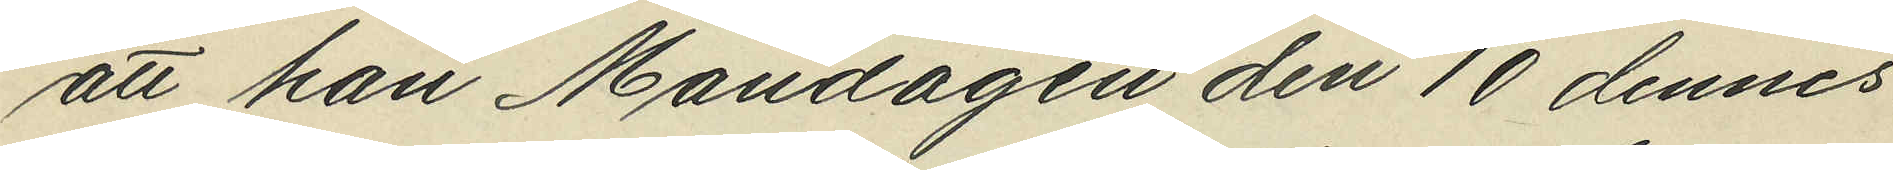att han Måndagen den 10 dennes
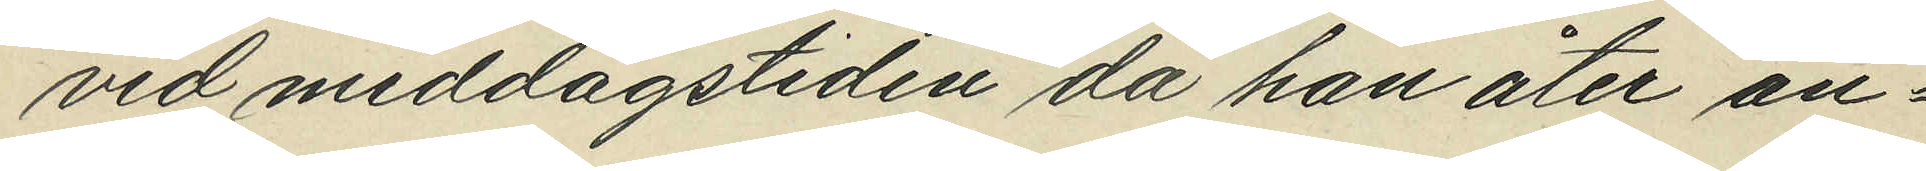vid middagstiden då han åter an¬
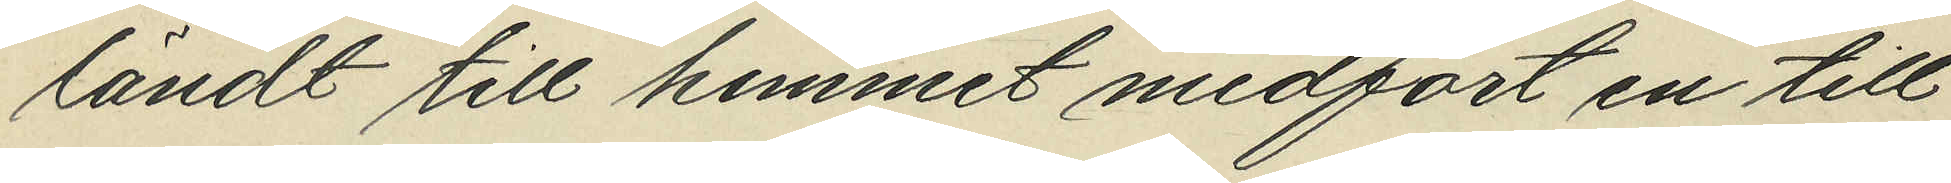ländt till hemmet medfört en till
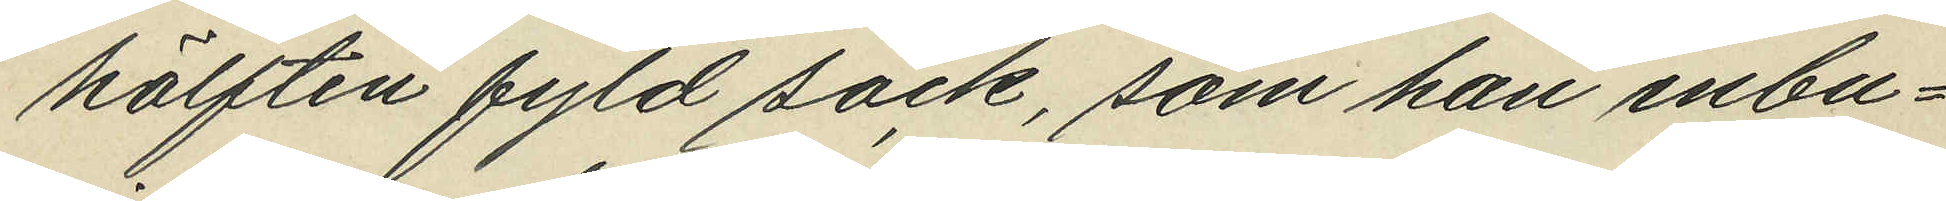hälften fyld säck, som han inbu¬
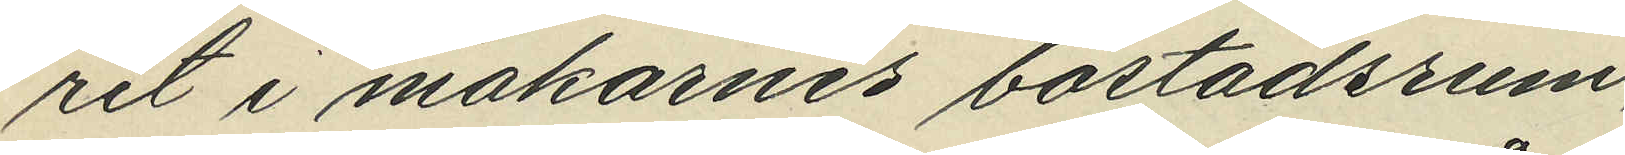rit i makarnes bostadsrum,
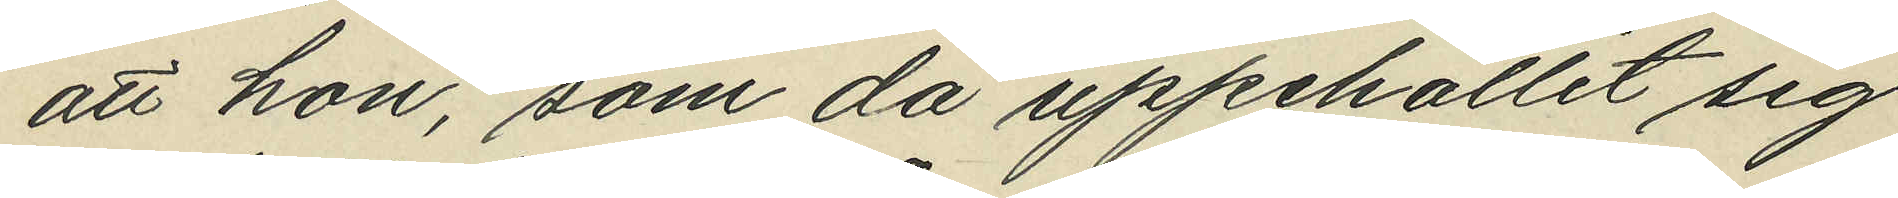att hon, som då uppehållit sig
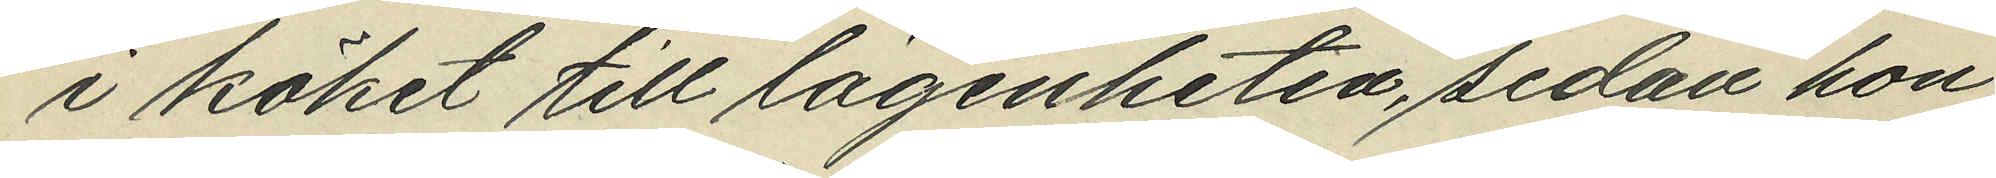i köket till lägenheten, sedan hon
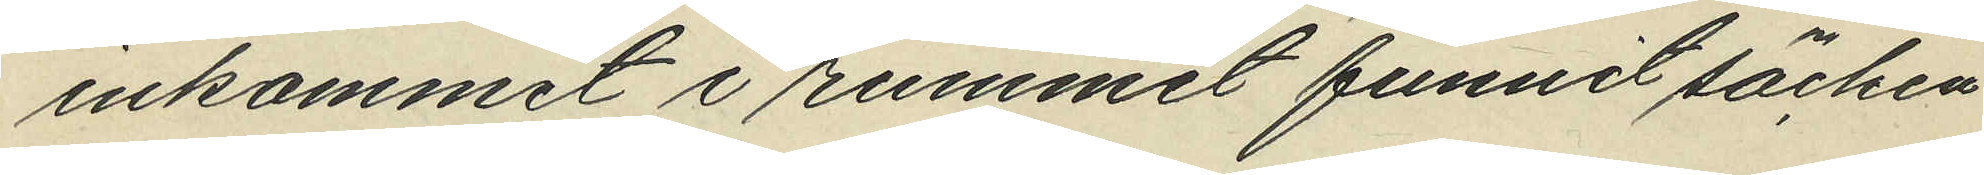inkommit i rummet funnit säcken
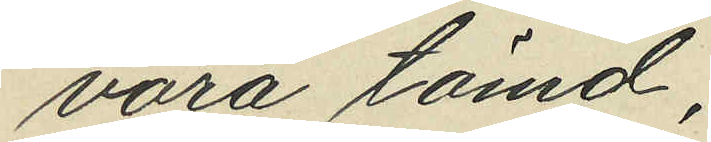vara tömd;
